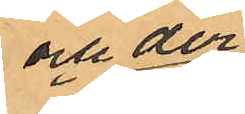och der
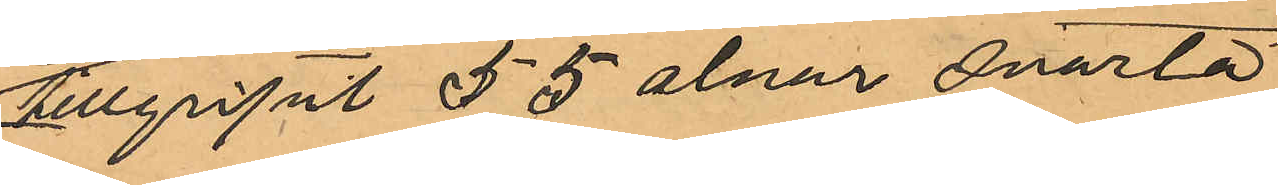tillgripit 55 alnar svarta
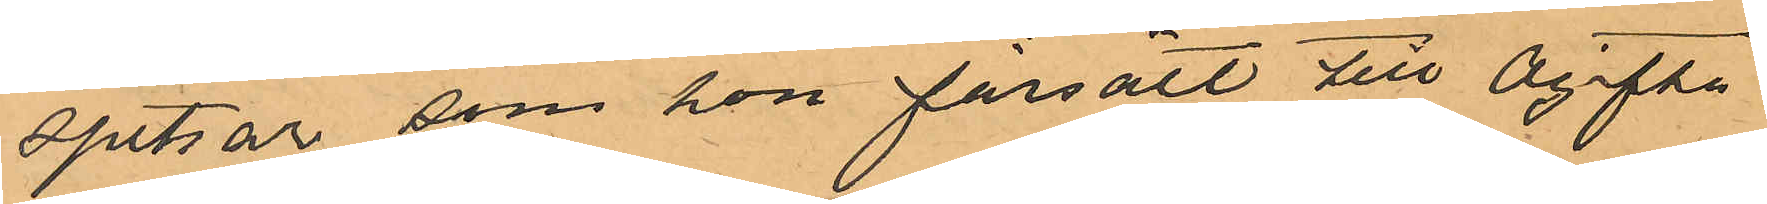spetsar som hon försålt till Ogifta
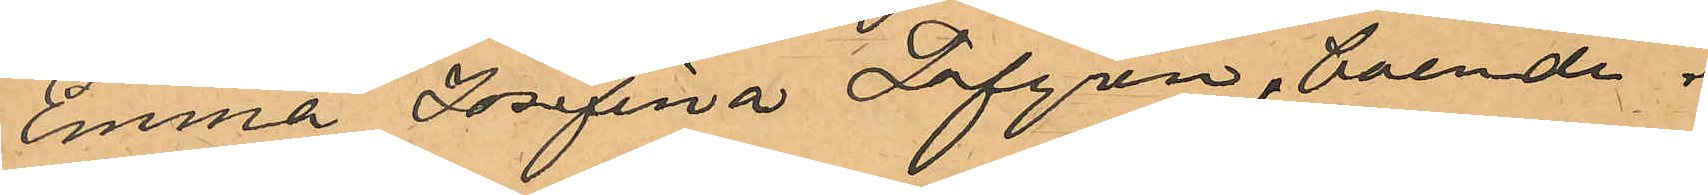Emma Josefina Löfgren, boende i
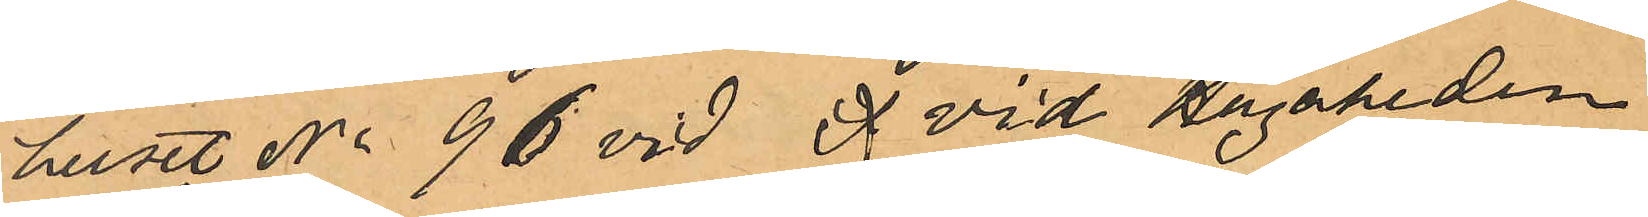huset No 96 vid  vid Hagaheden
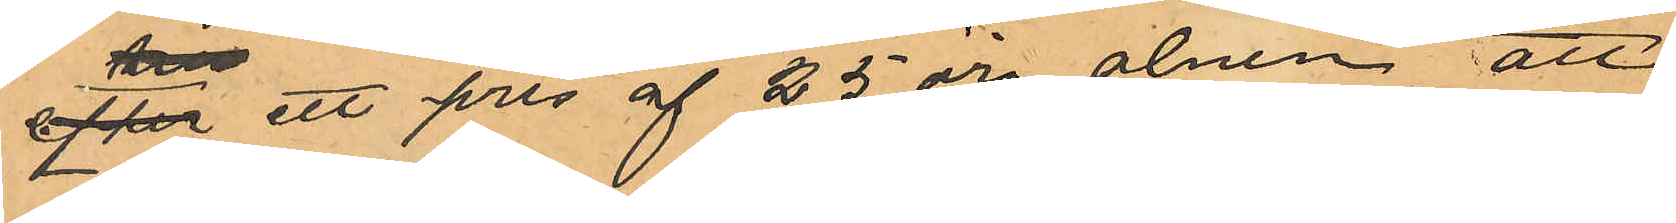efter ett pris af 25 öre alnen, att
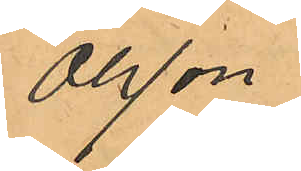Olsson
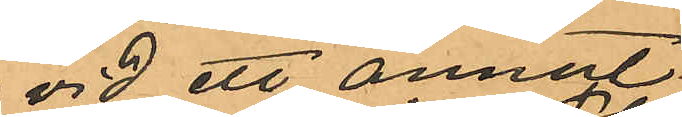vid ett annat
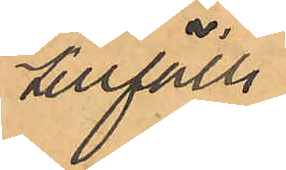tillfälle
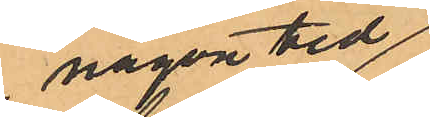någon tid
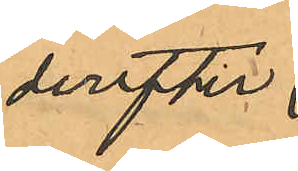derefter
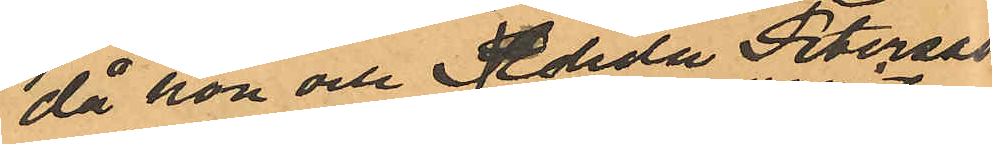då hon och Elida Peterson
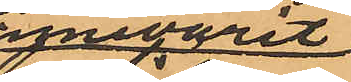innvarit
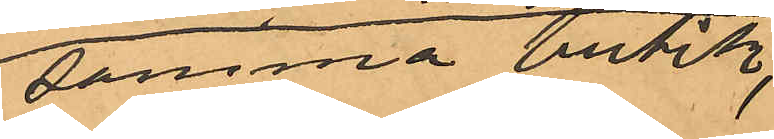i samma butik,
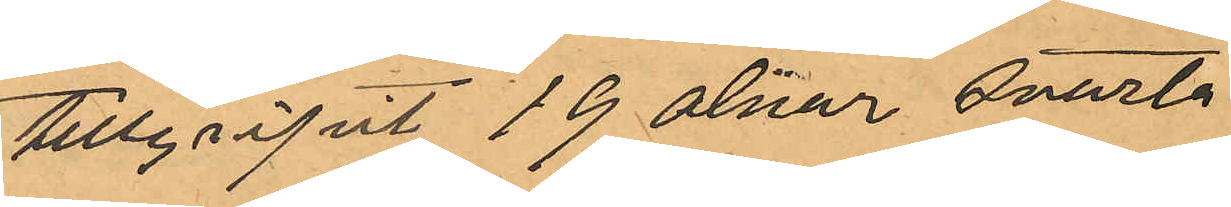tillgripit 19 alnar svarta
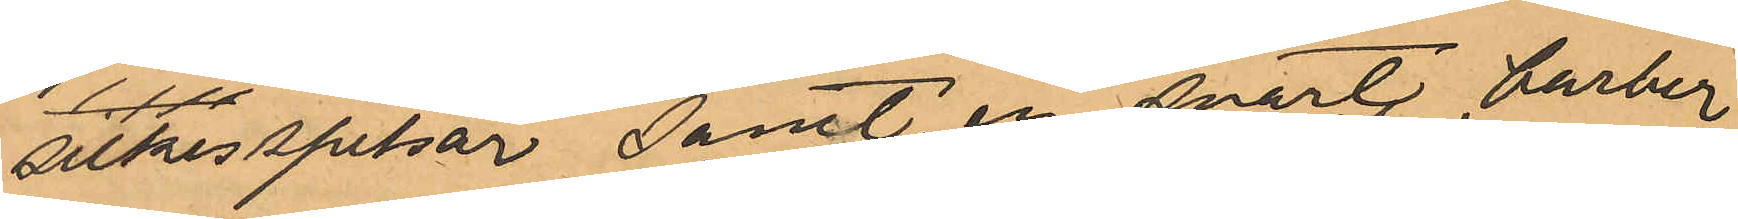silkesspetsar samt en svart barber¬
